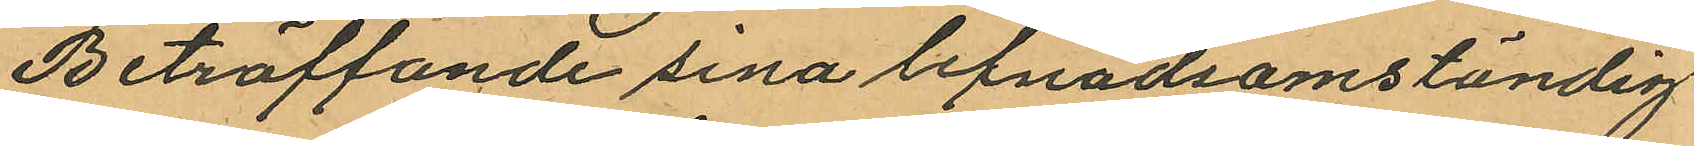Beträffande sina lefnadsomständig
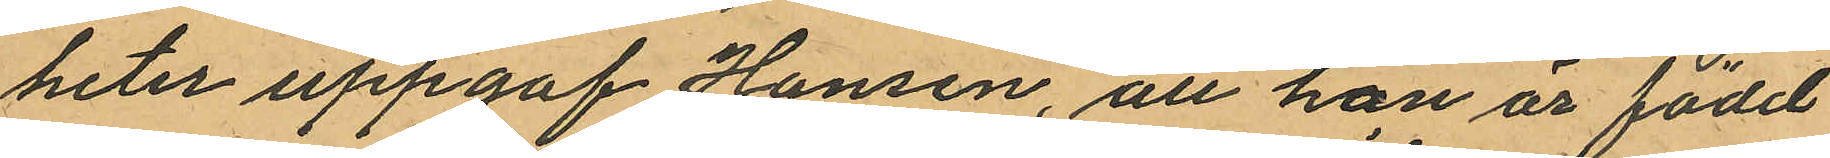heter uppgaf Hansen, att han är född
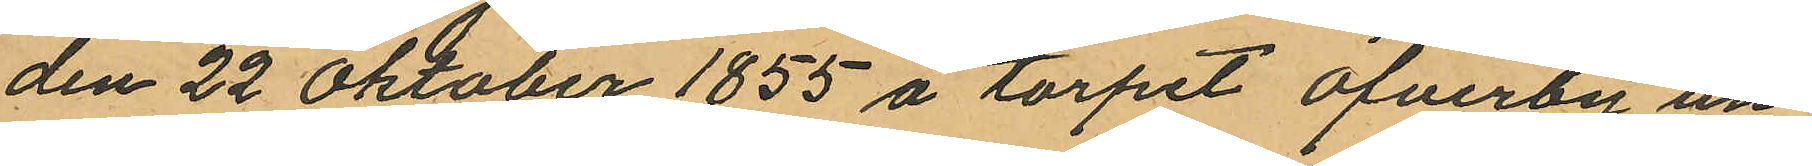den 22 Oktober 1855 å torpet Öfverby un¬
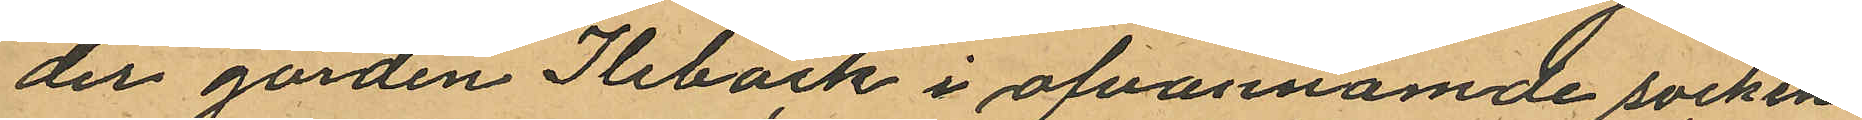der gården Ilebäck i ofvannämde socken
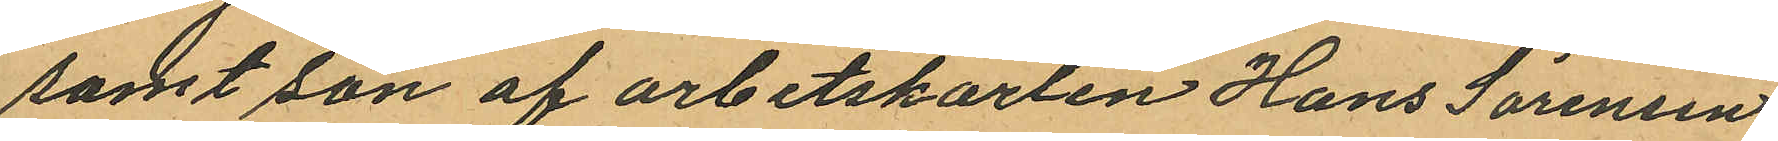samt son af arbetskarlen Hans Sörensen
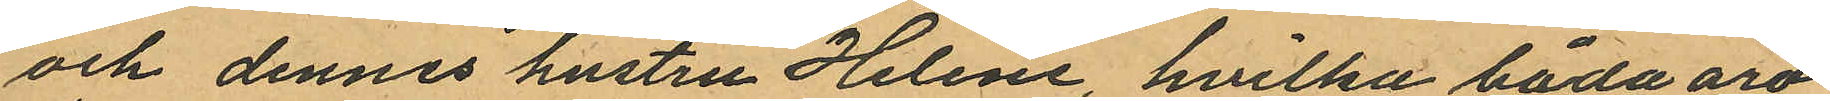och dennes hustru Helene, hvilka båda äro
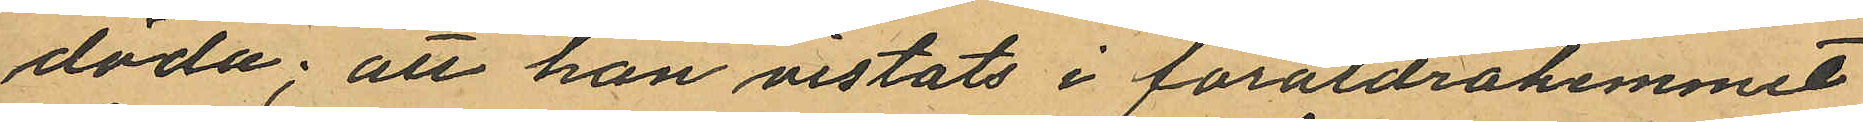döda; att han vistats i föräldrahemmet
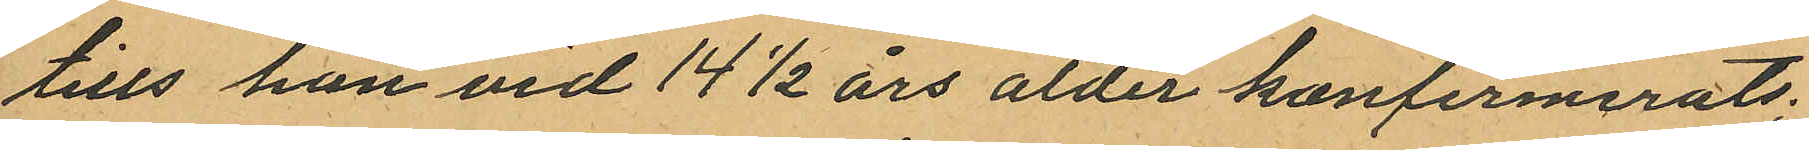tills han vid 14½ års ålder konfirmerats;
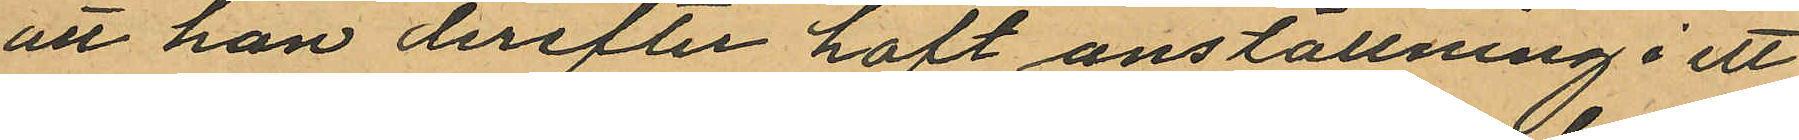att han derefter haft anställning i ett
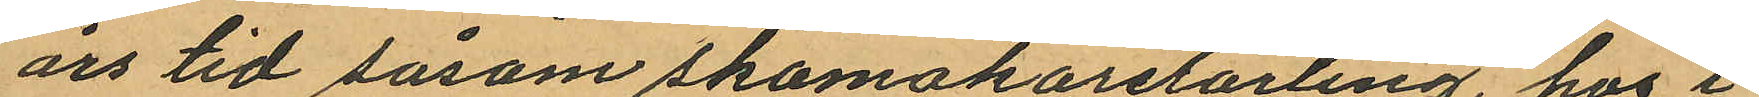års tid såsom skomakarelärling, hos i
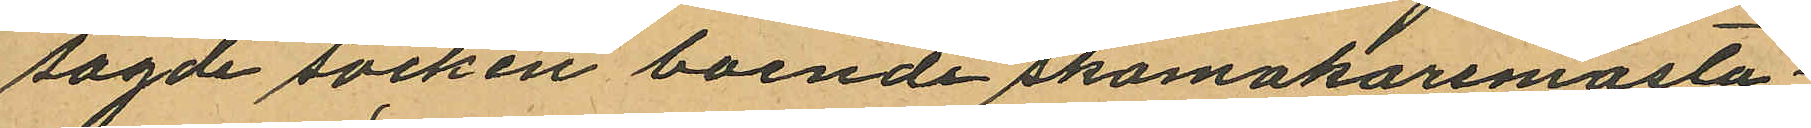sagde socken boende skomakaremästa¬
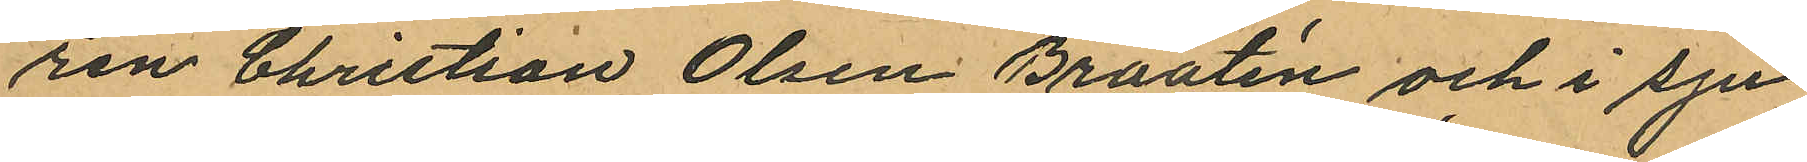ren Christian Olsen Braatin och i sju
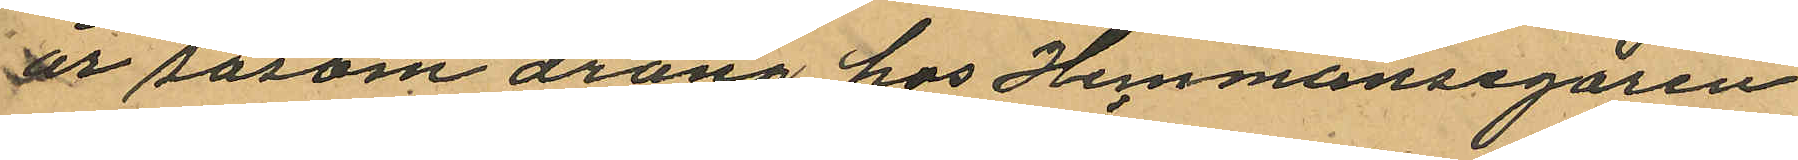år såsom dräng hos Hemmansegaren
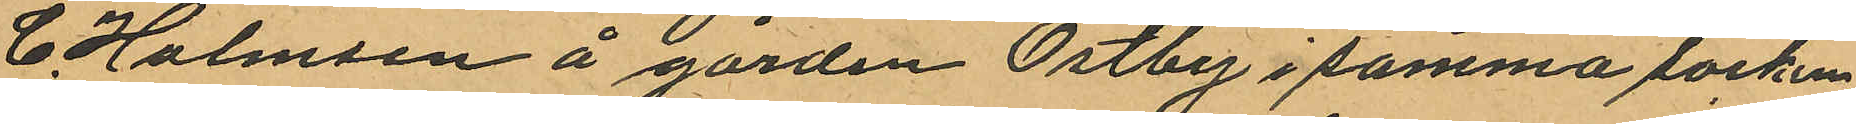C. Holmsen å gården Östby i samma socken;
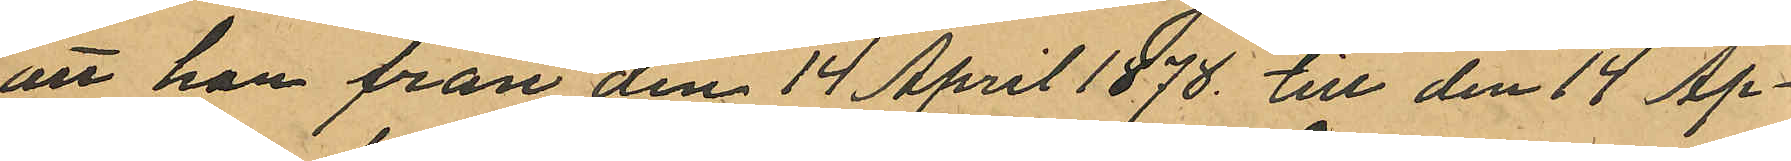att han från den 14 April 1878. till den 14 Ap¬
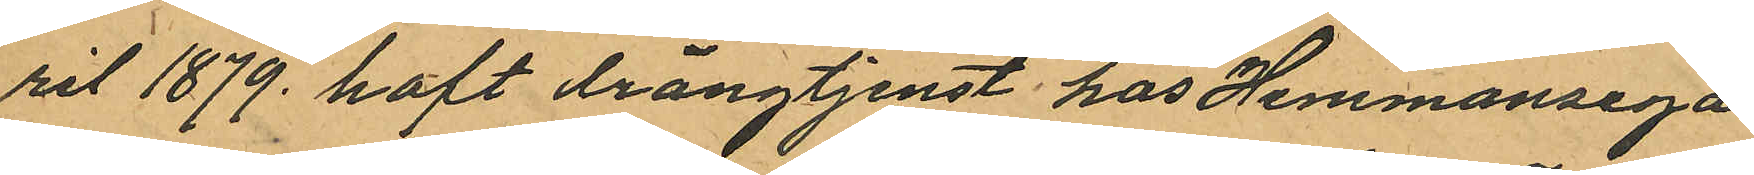ril 1879 haft drängtjenst hos Hemmansega
